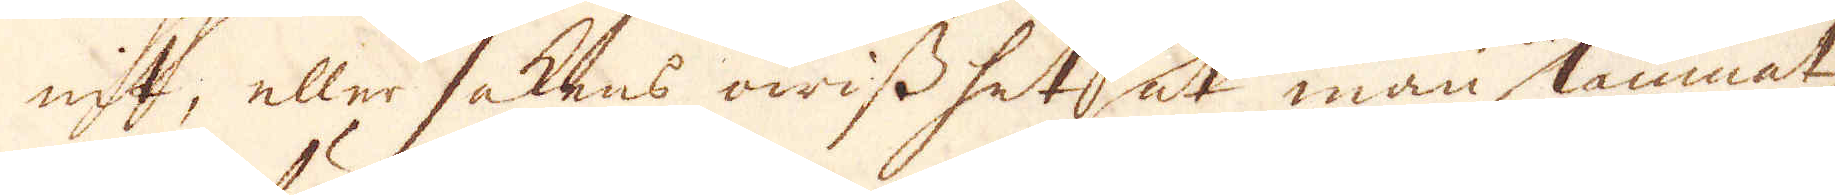nit, eller sakens owisshet at man lämnat,
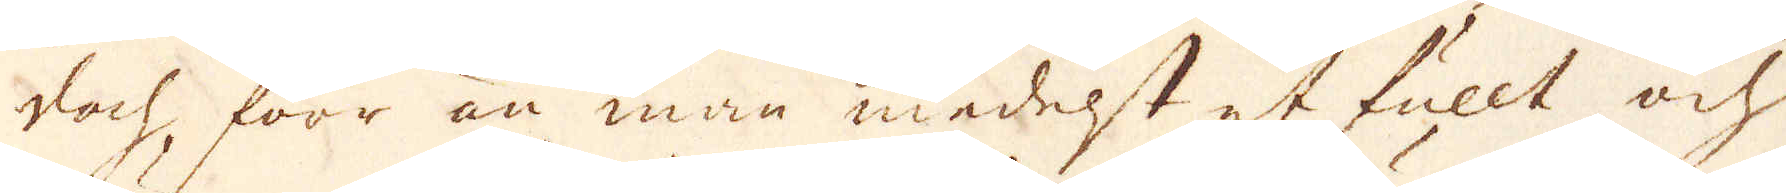doch förr än man medelst et fullt och
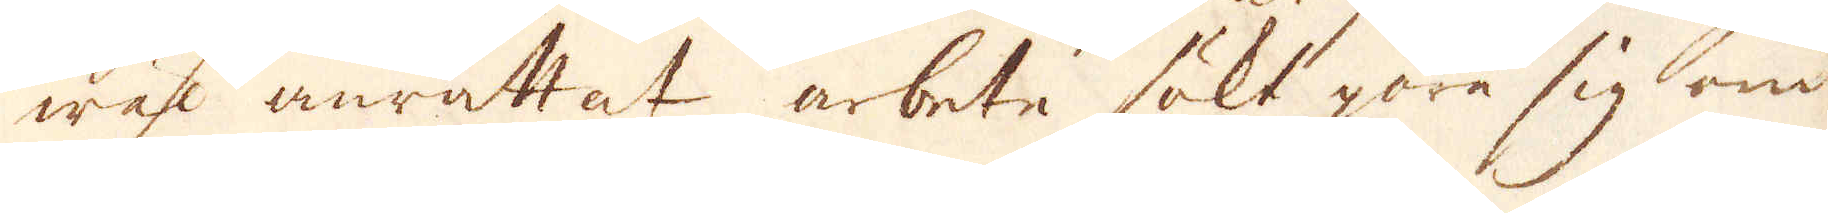wäl anrättat arbete sökt göra sig om
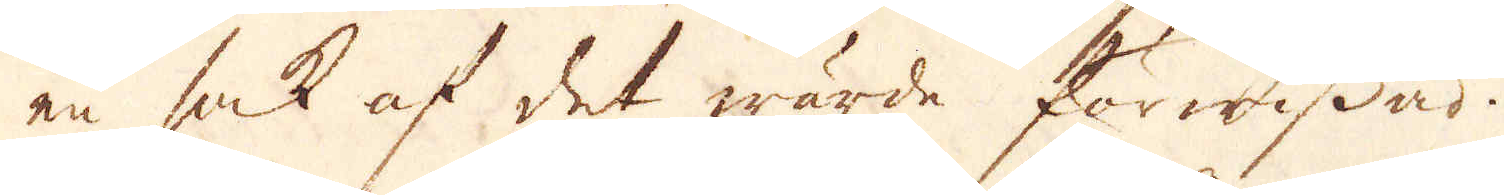en sak af det wärde förwissad.
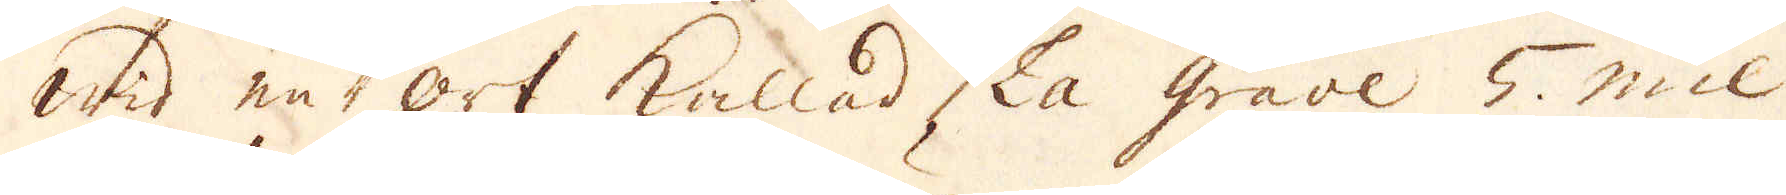Wid en ort kallad La Grave 5. mil
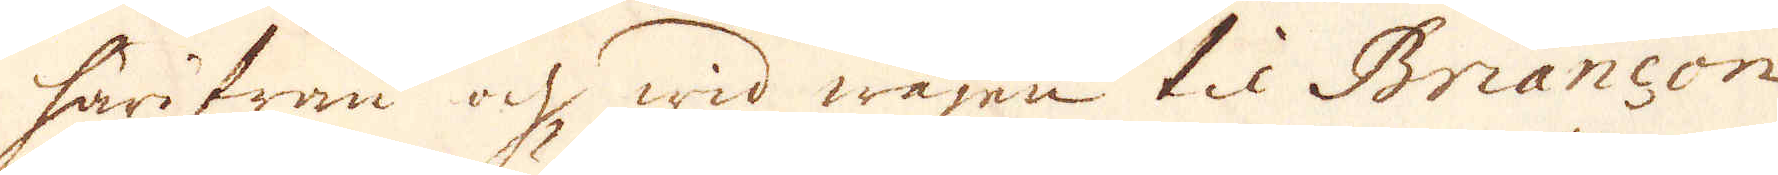härifrån och wid wägen til Briançon
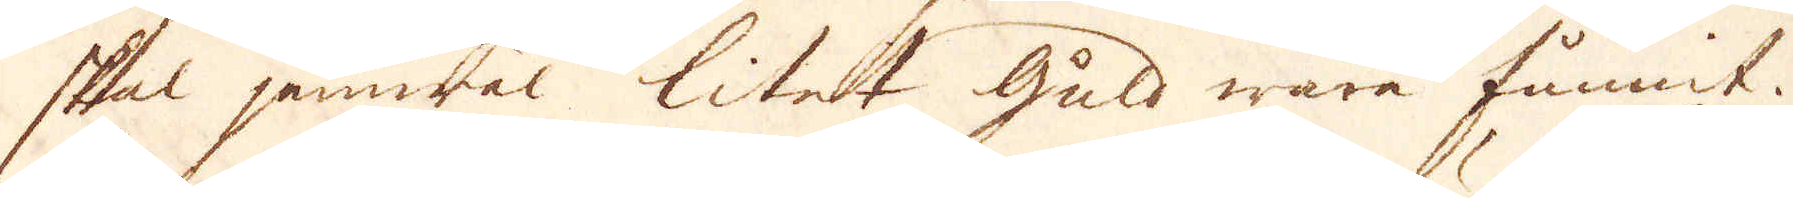skal jemwäl litet Guld wara funnit.
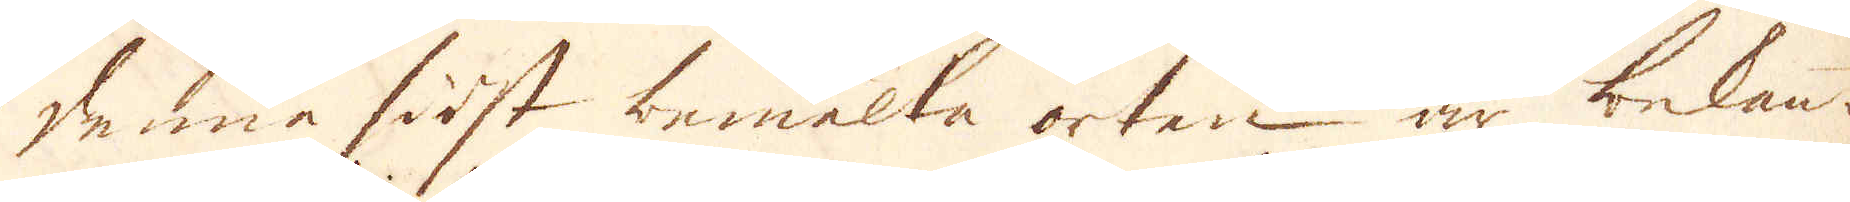Denna först bemelta orten är bekant
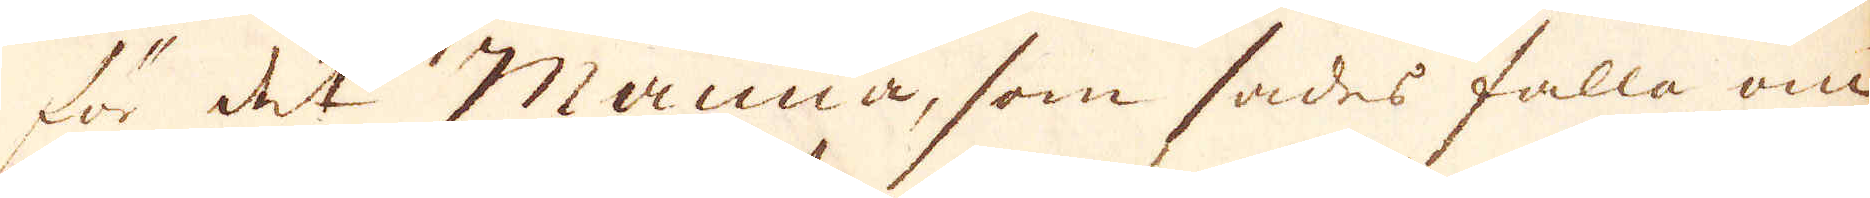för det Manna, som sades falla om
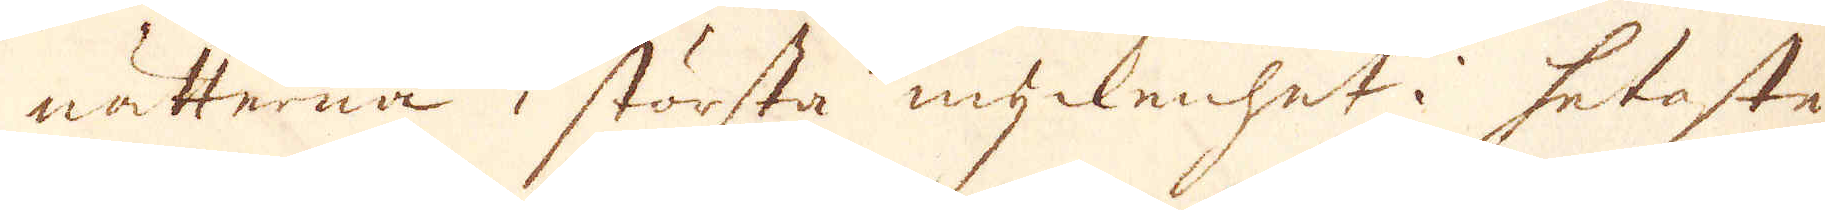nätterna i största myckenhet i hetaste
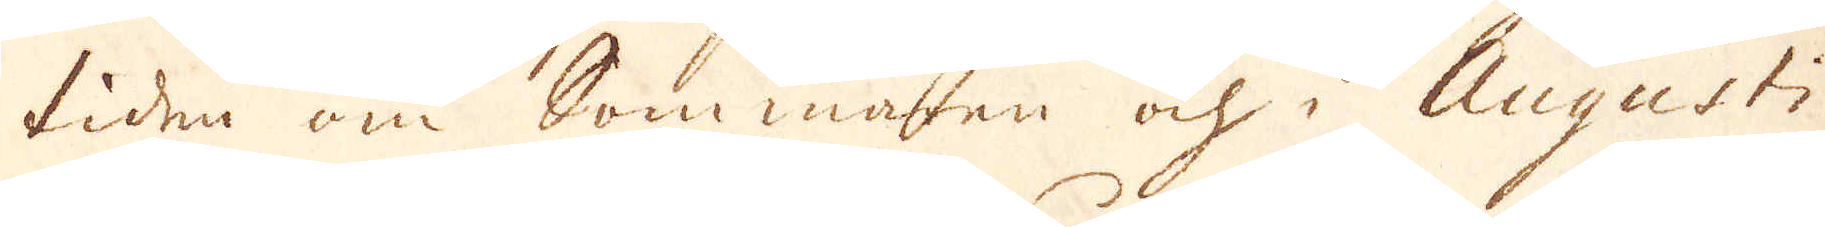tiden om Sommaren och i Augusti
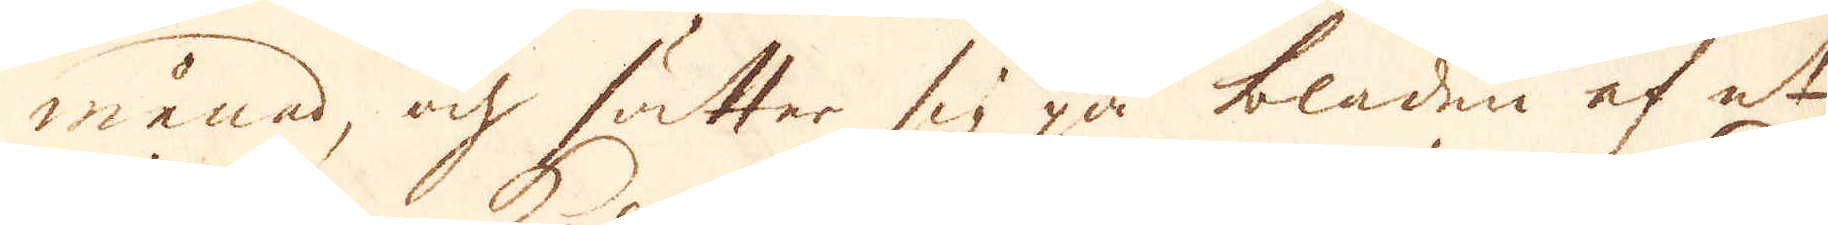månad, och sätter sig på bladen af et
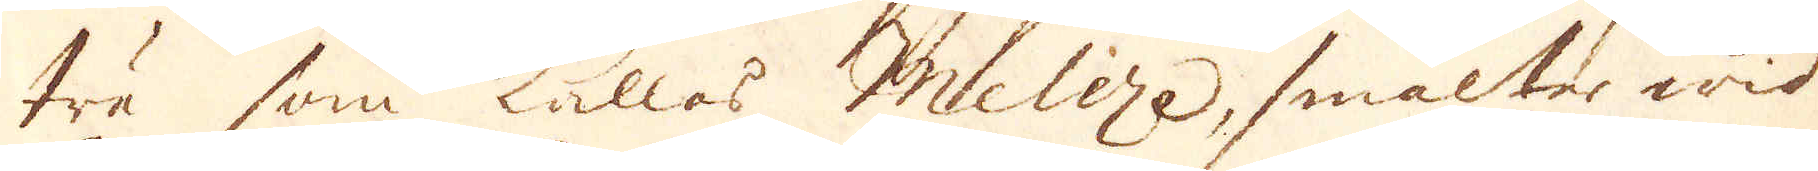trä som kallas Meleze, smälte wid
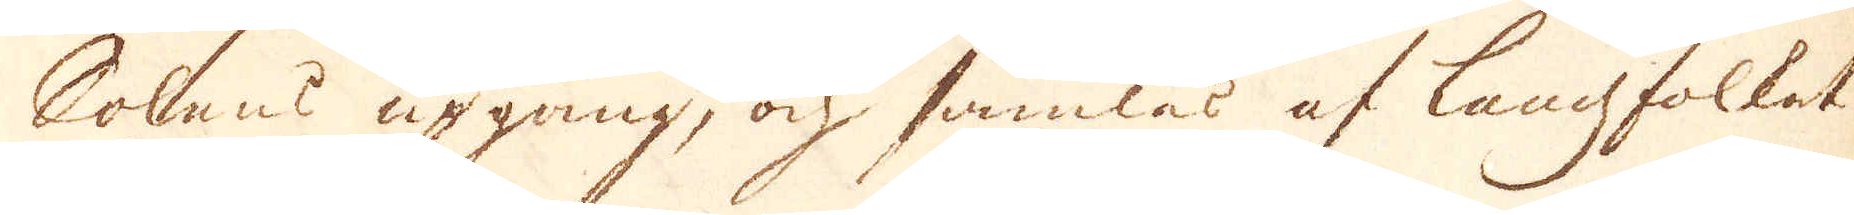Solens upgång, ock samlas af landfolket.
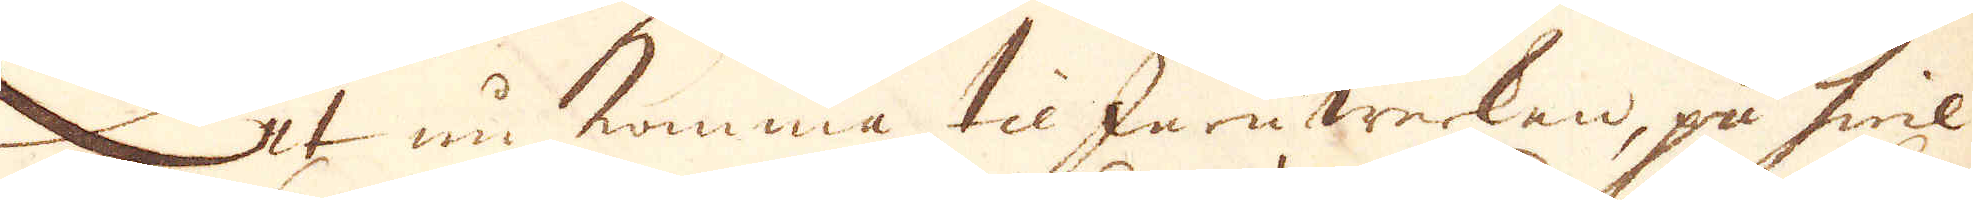At nu komma til Jernwerkan, på hwil-
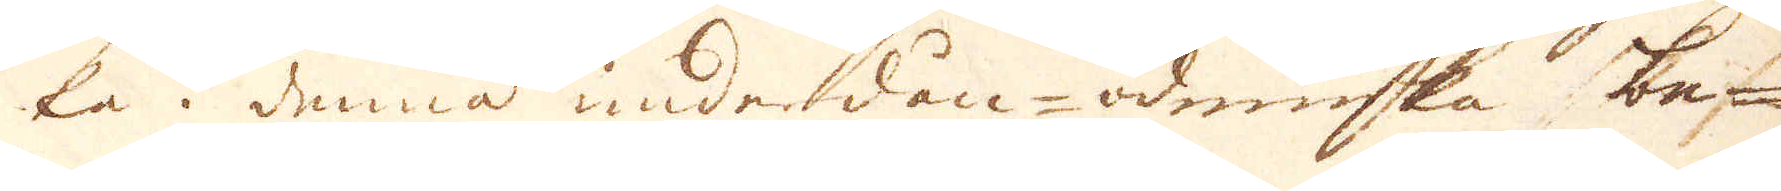ka i denna underåan- ömiuska b-n
